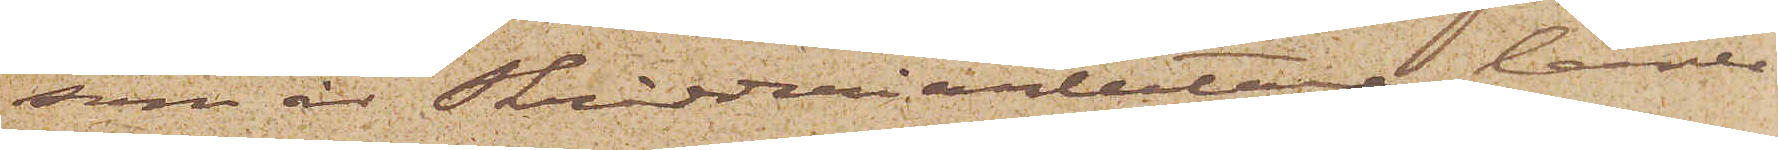som är Skrädderiarbetare, lärer
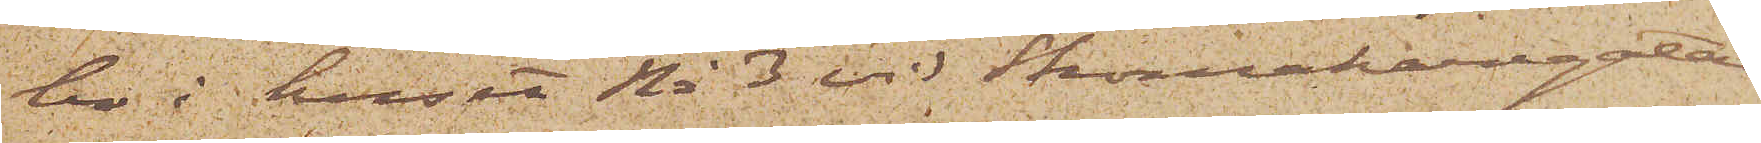bo i huset No 3 vid Skomakaregatan
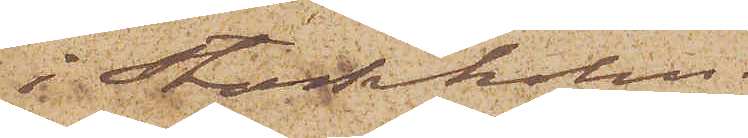i Stockholm.
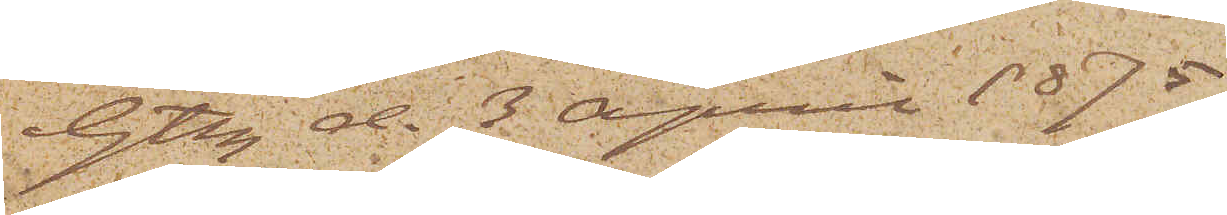Gtbg d. 3 April 1875.
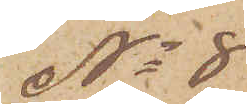No 8
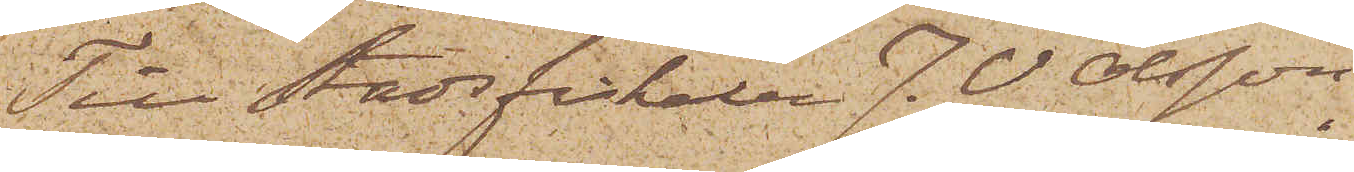Till Stadsfiskalen J. V. Olsson,
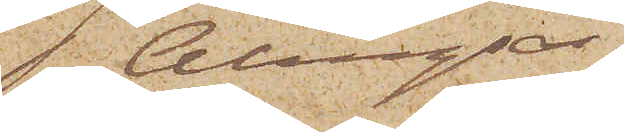Alingsås.
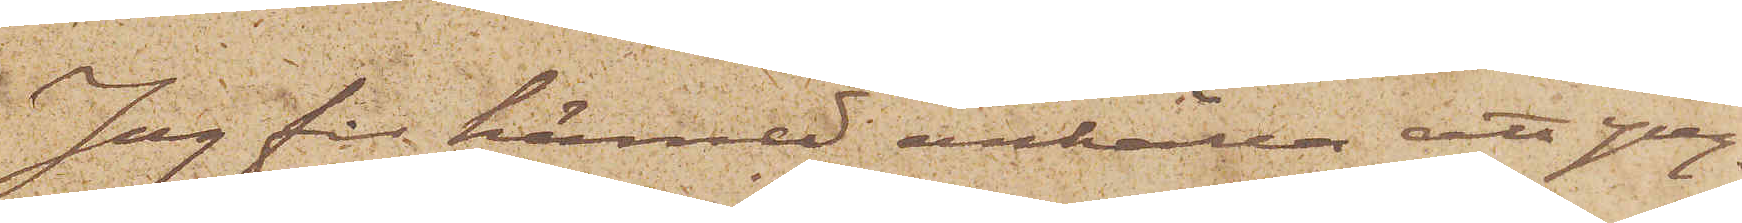Jag får härmed anhålla att yng¬
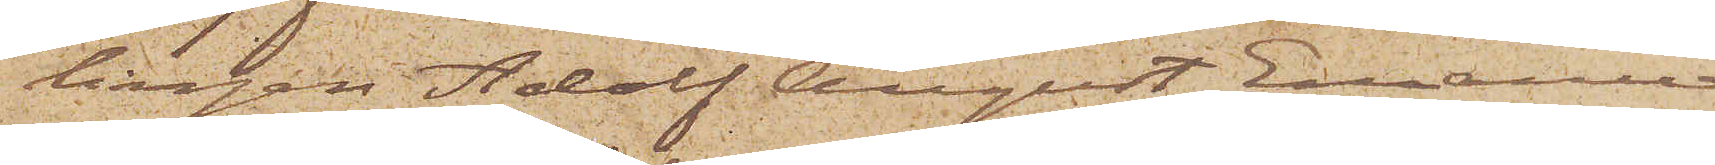lingen Adolf August Emanuel
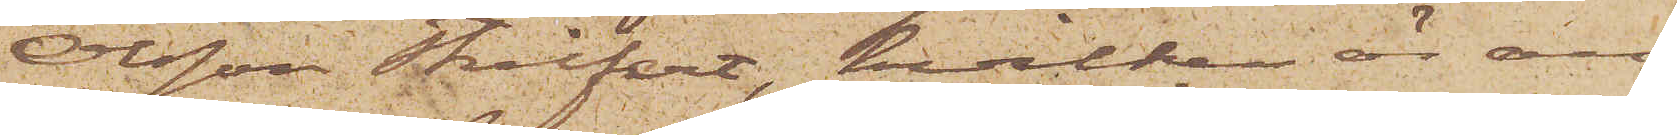Olsson Streifert, hvilken är an¬
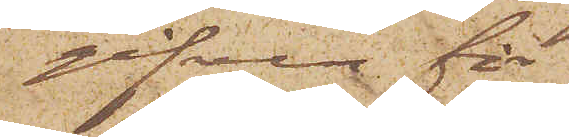gifven för
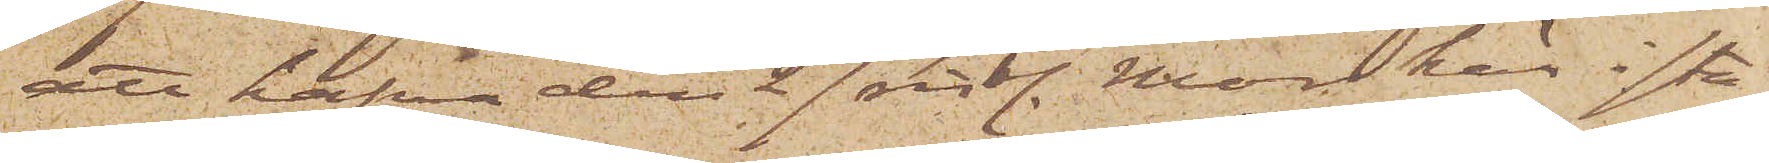att hafva den 27 sistl. Mars här i sta¬
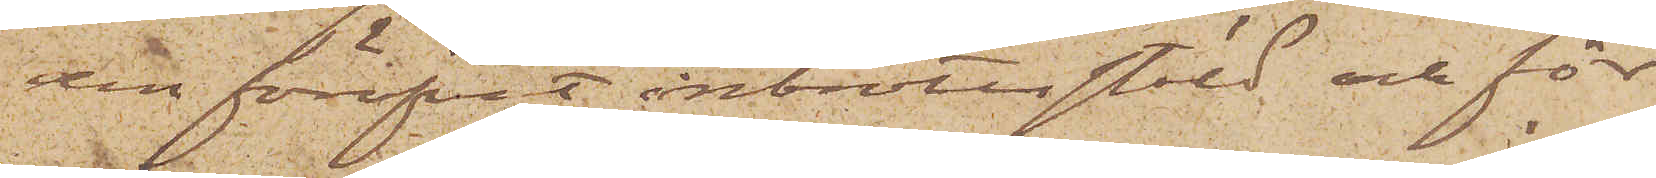den föröfvat inbrottsstöld och för
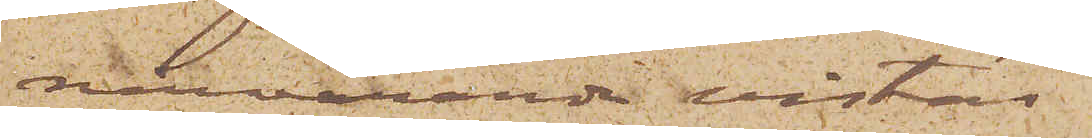närvarande vistas
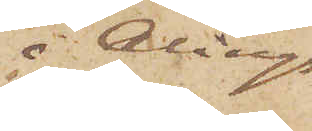i Alings¬
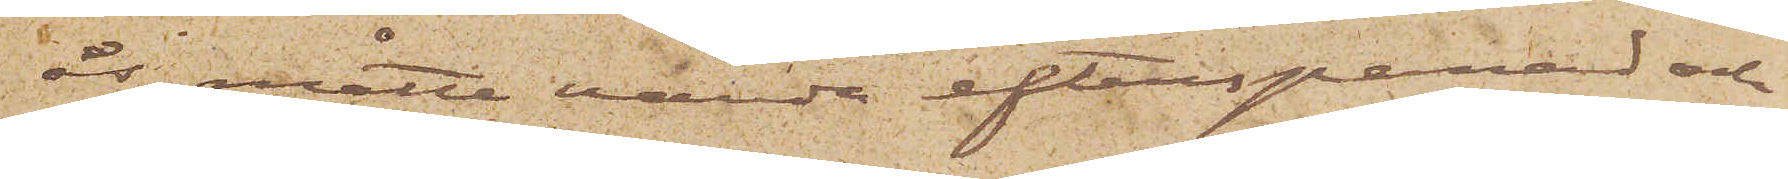ås, måtte varda efterspanad och
